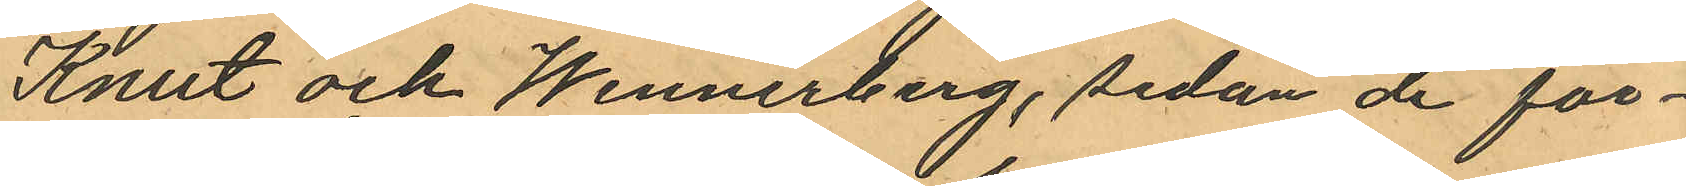Knut och Wennerberg, sedan de för¬
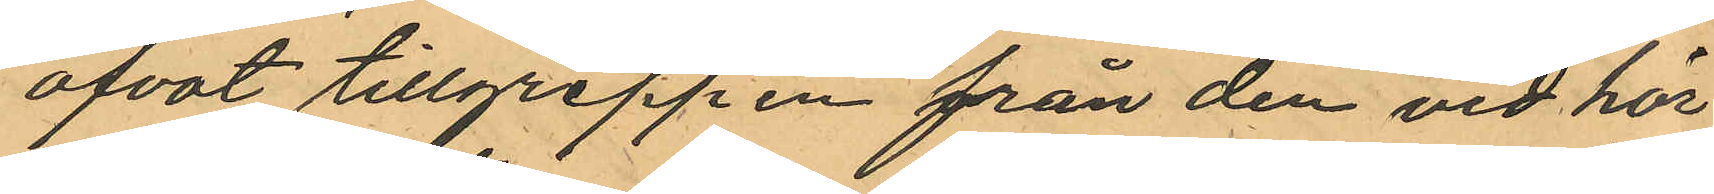ofvat tillgreppen från den vid hör
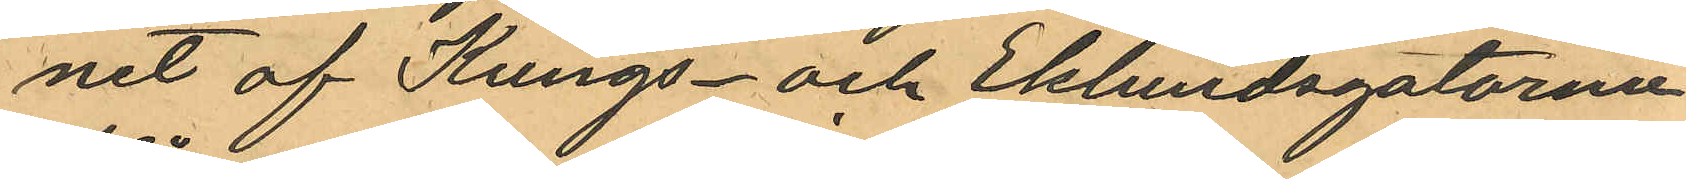net af Kungs- och Eklundsgatorna
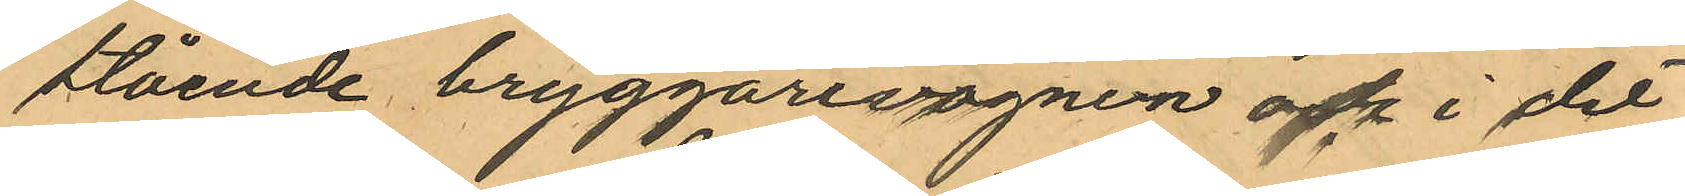stående bryggarevagnen och i det
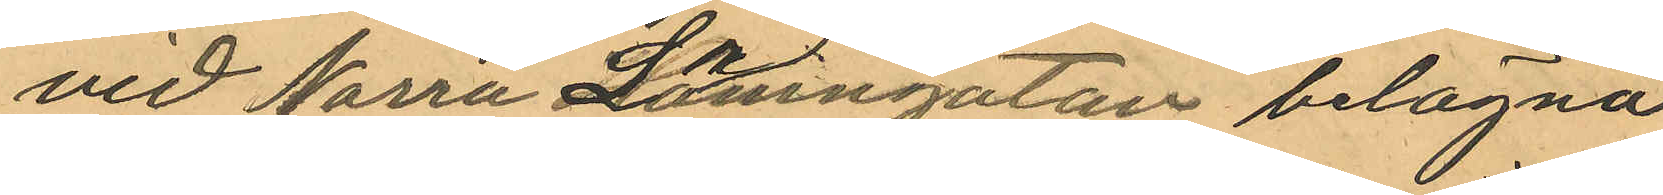vid Norra Larmgatan belägna
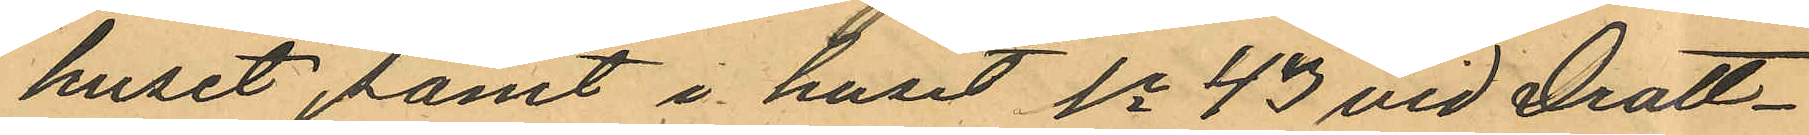huset samt i huset No 43 vid Drott¬
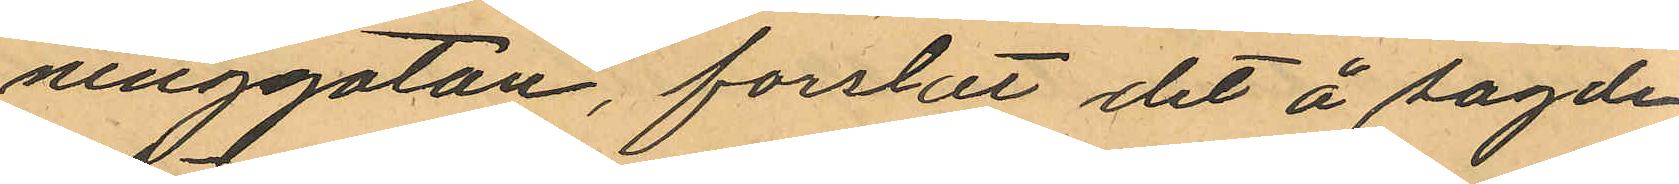ninggatan, forslat det å sagde
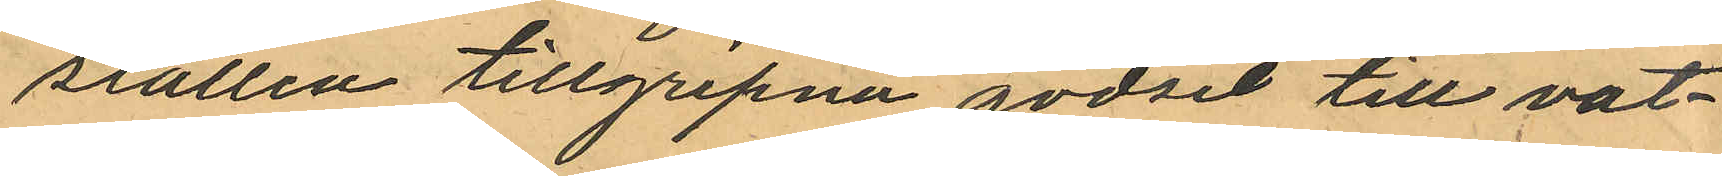ställen tillgripne godset till vat¬
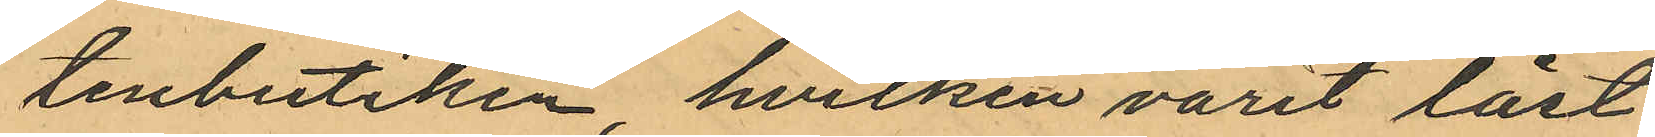tenbutiken hvilken varit låst
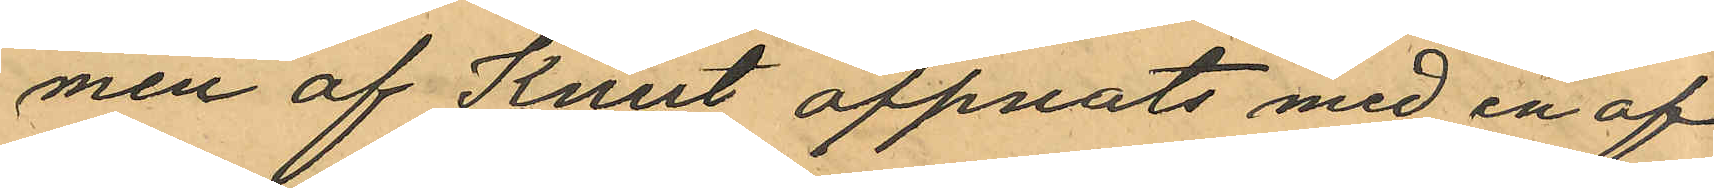men af Knut öppnats med en af
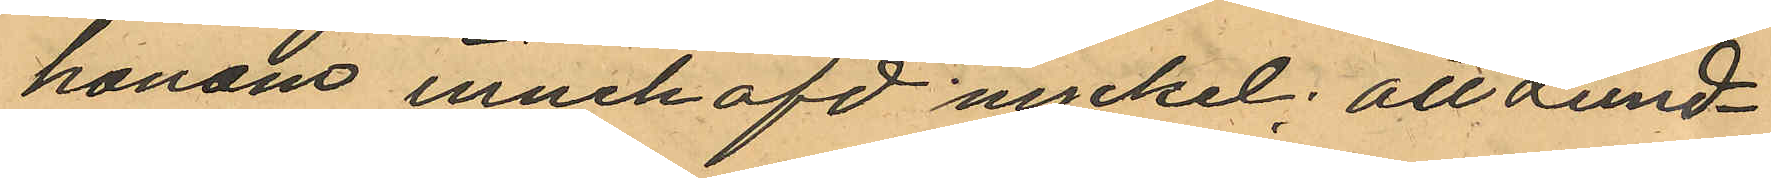honom innehafd nyckel; att Lund¬
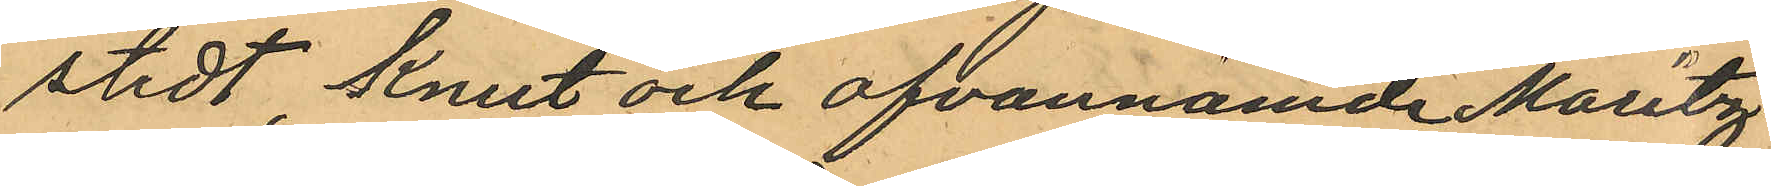stedt, Knut och ofvannämde Moritz
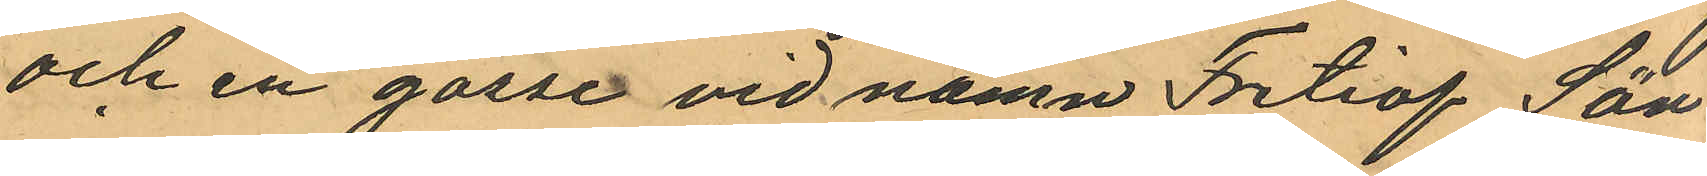och en gosse vid namn Fritiof Sön¬
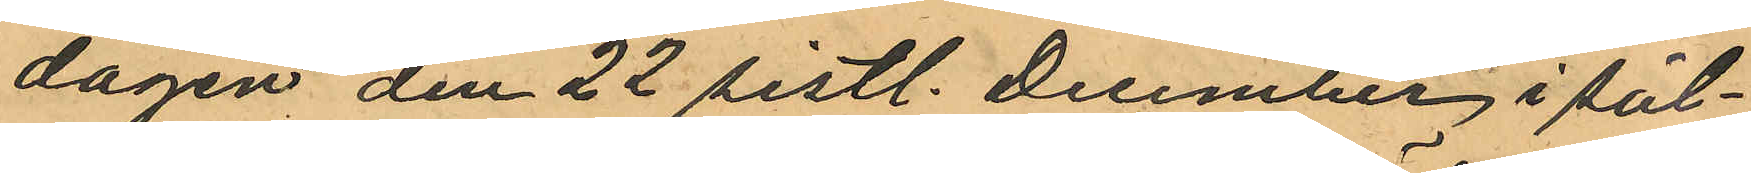dagen den 22 sistl. December i säl¬
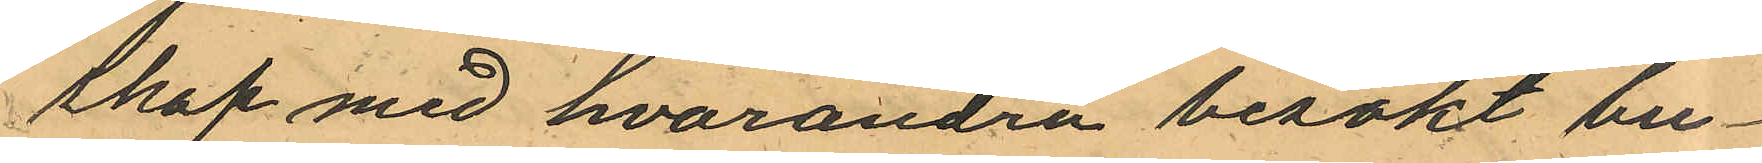skap med hvarandra besökt bu¬
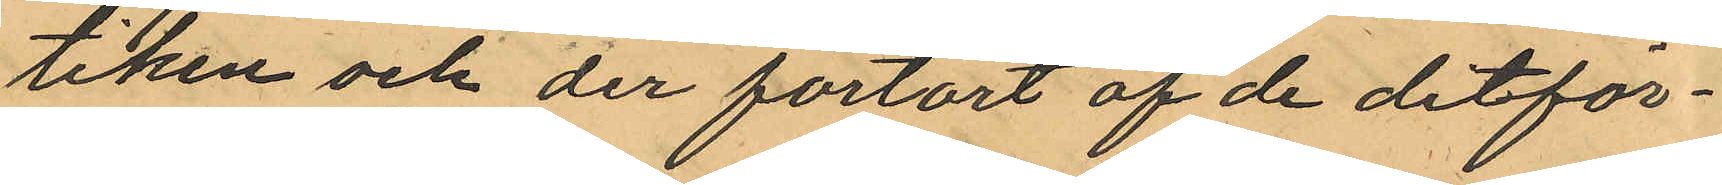tiken och der förtärt af de ditför¬
